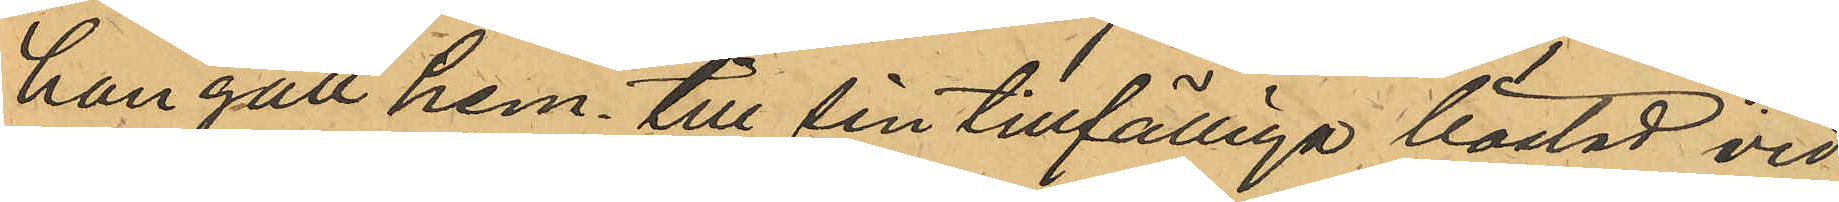han gått hem till sin tillfälliga bostad vid
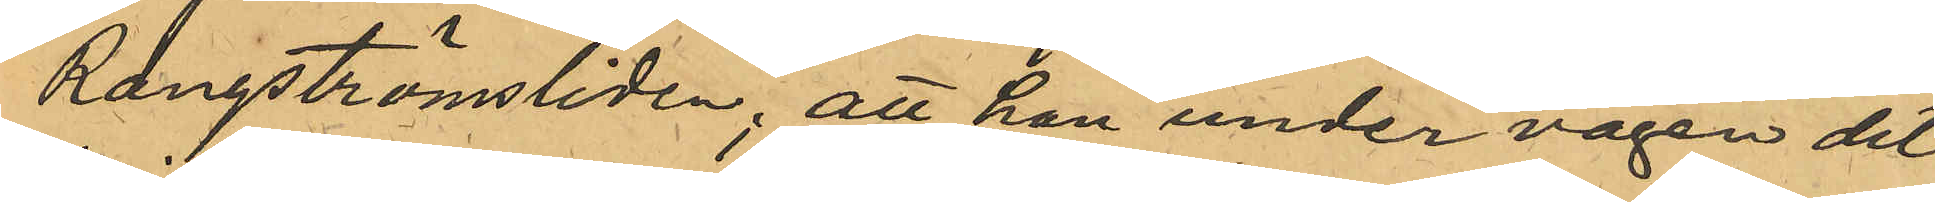Rangströmsliden; att han under vägen dit
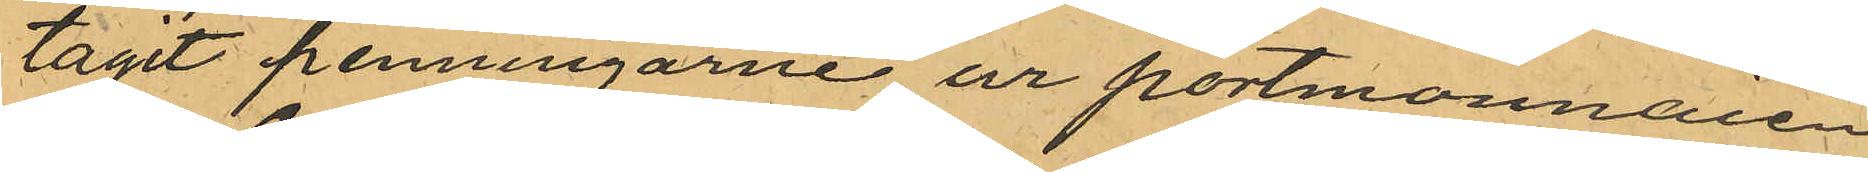tagit penningarne ur portmonnaien
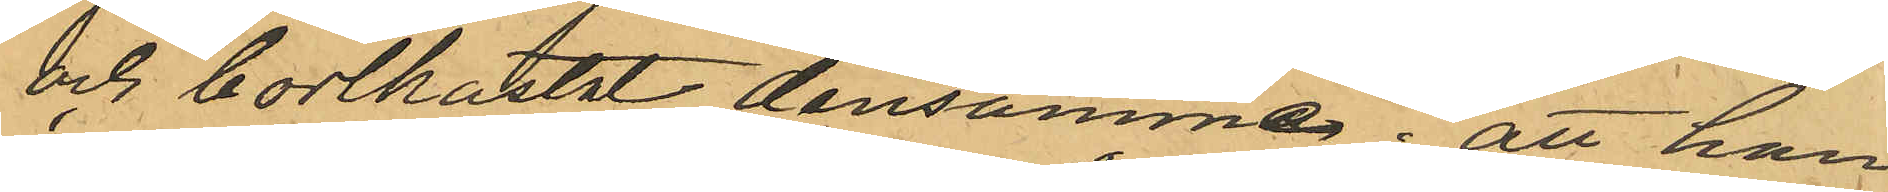och bortkastat densamme; att han
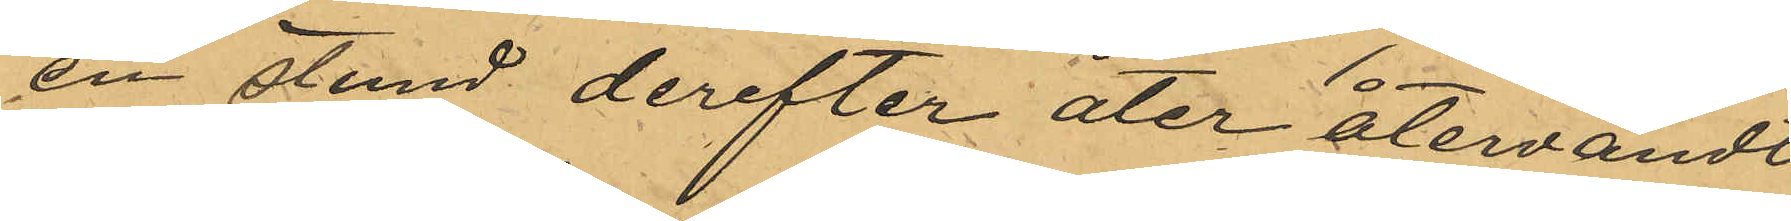en stund derefter åter återvändt
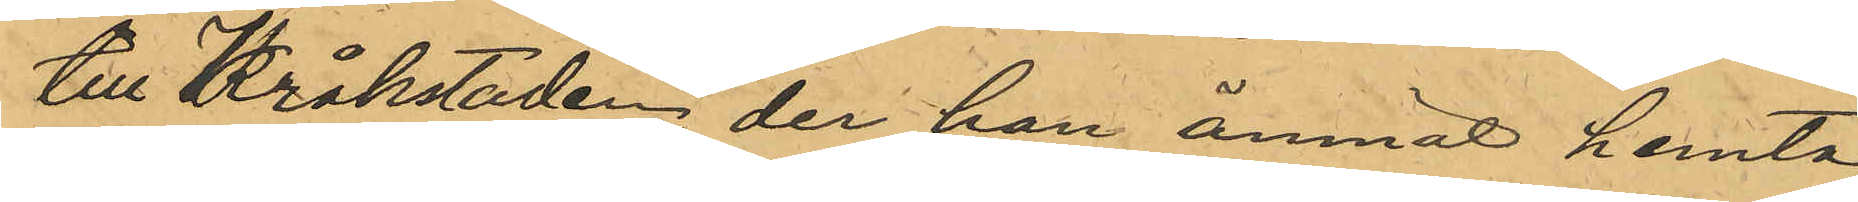till Kråkstaden, der han ämnat hemta
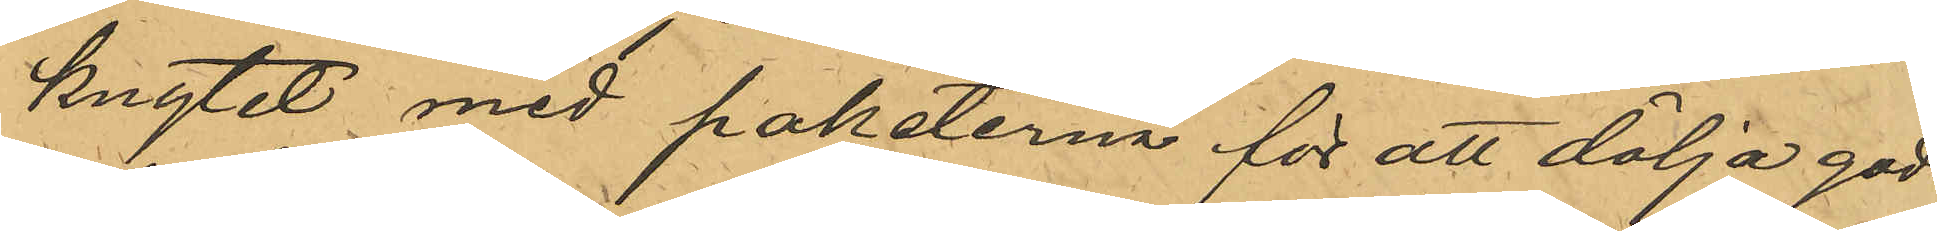knytet med paketerna för att dölja god¬
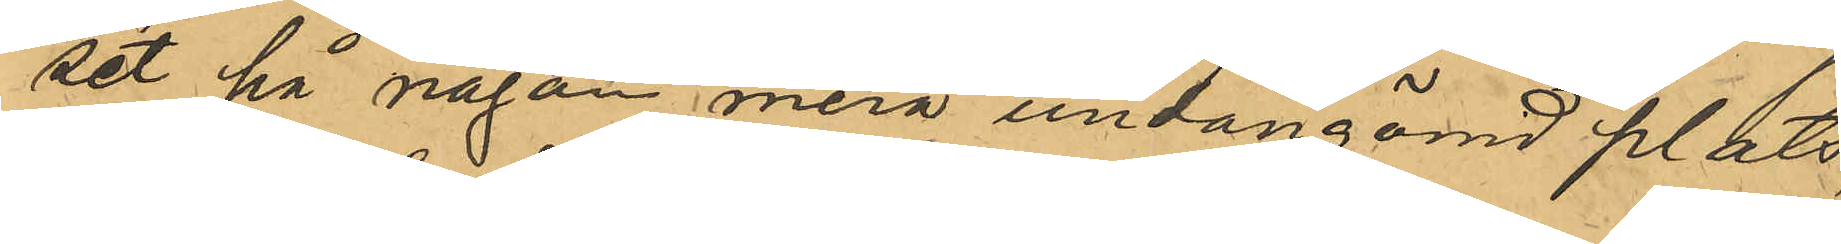set på någon mera undangömd plats,
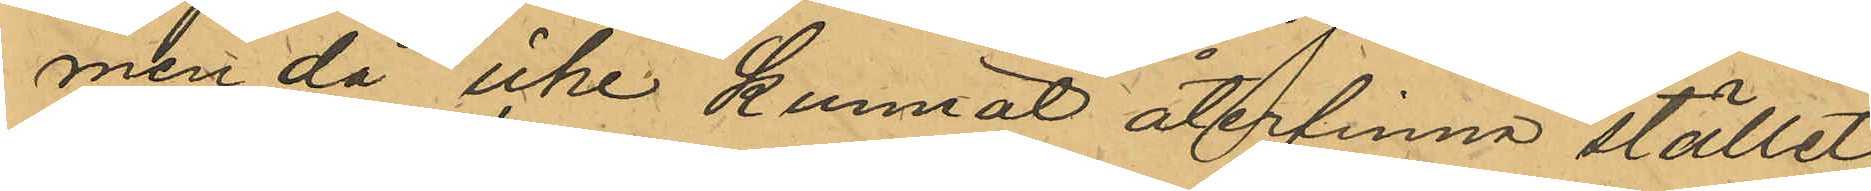men då icke kunnat återfinna stället
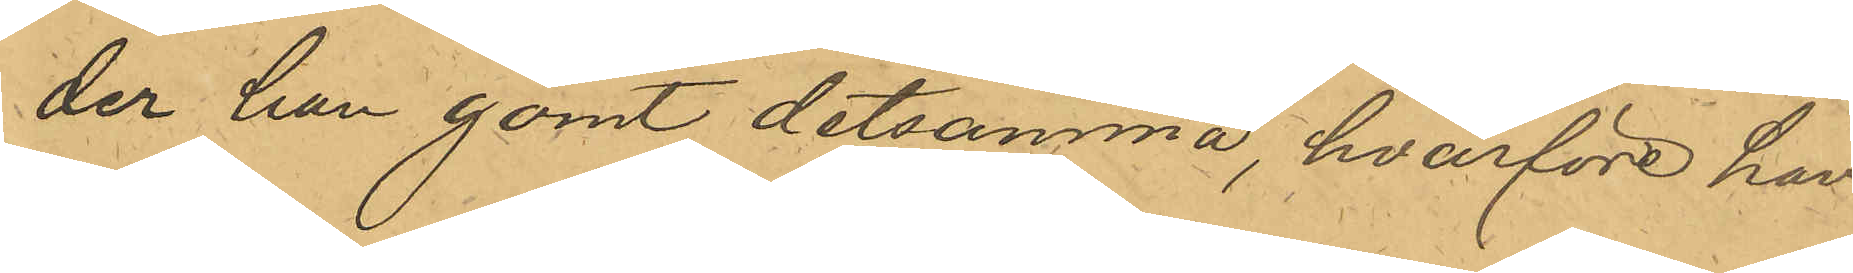der han gömt detsamma, hvarföre han
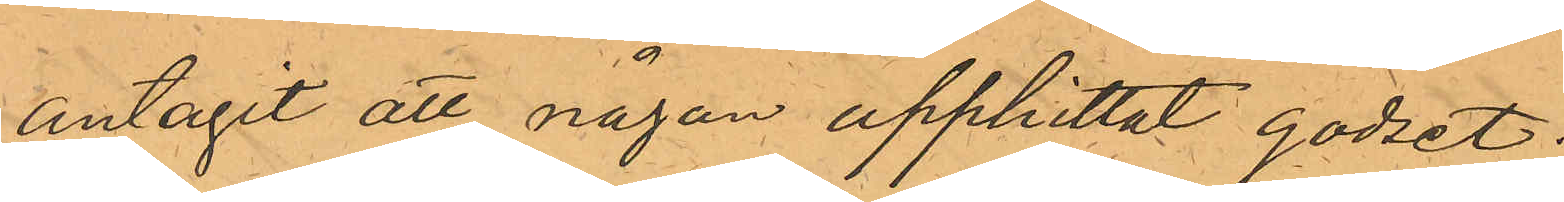antagit att någon upphittat godset.
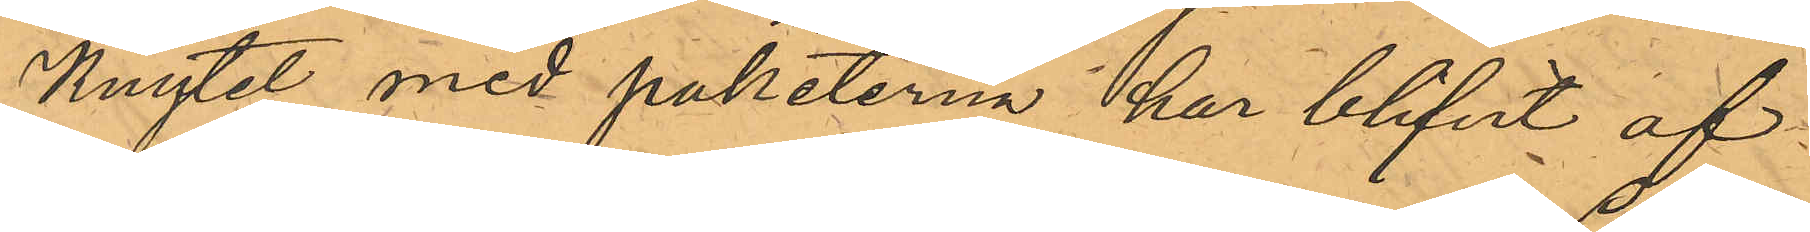Knytet med paketerna har blifvit af
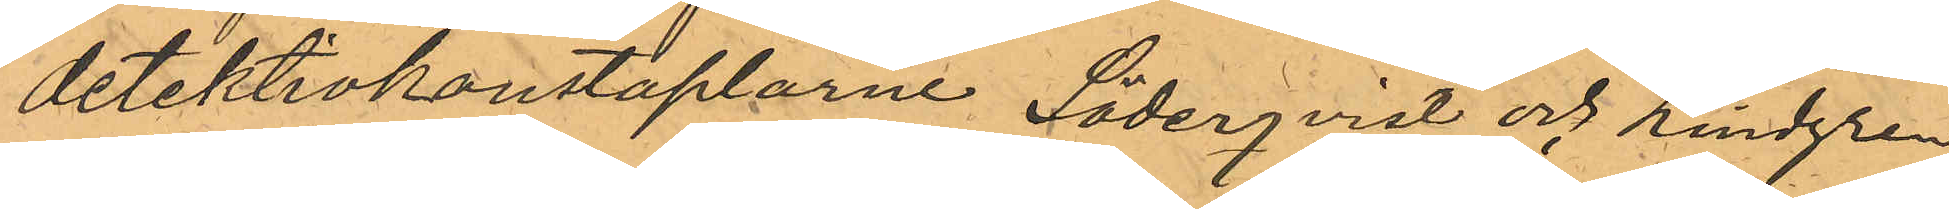detektivkonstaplarne Söderqvist och Lindgren
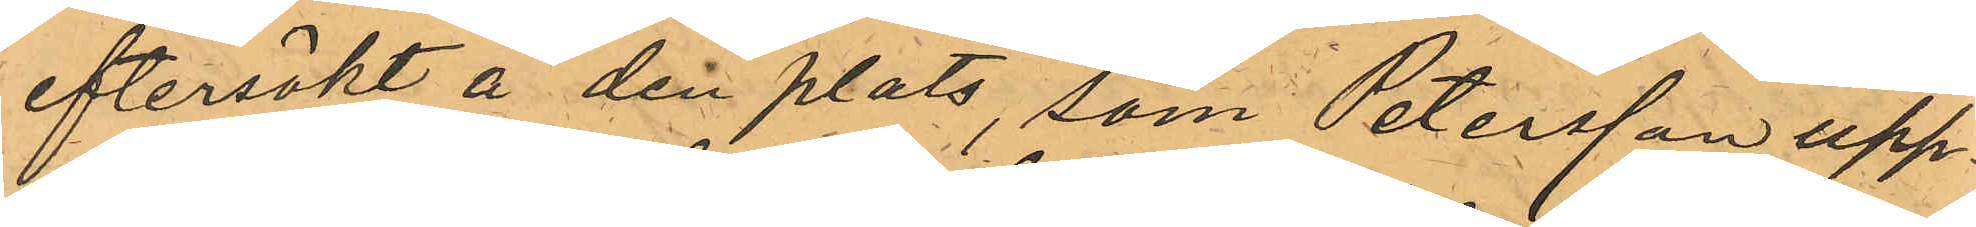eftersökt å den plats, som Petersson upp¬
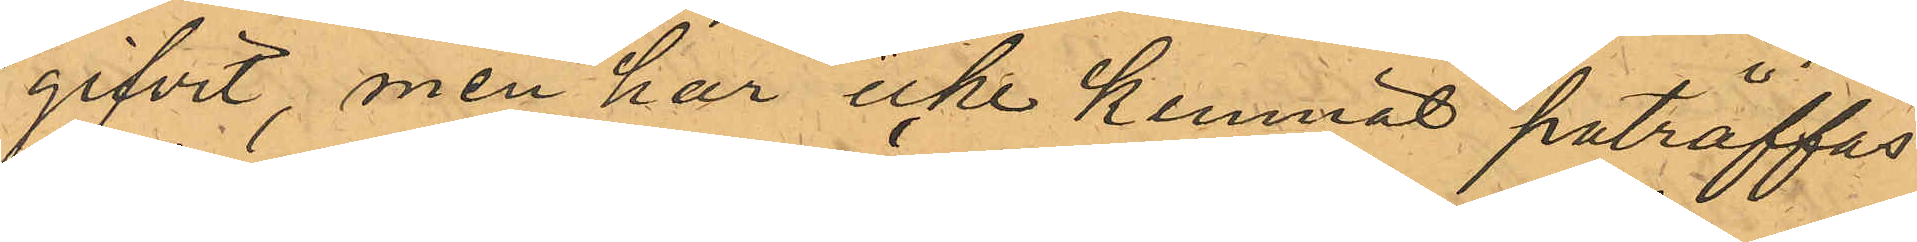gifvit, men har icke kunnat paträffas.
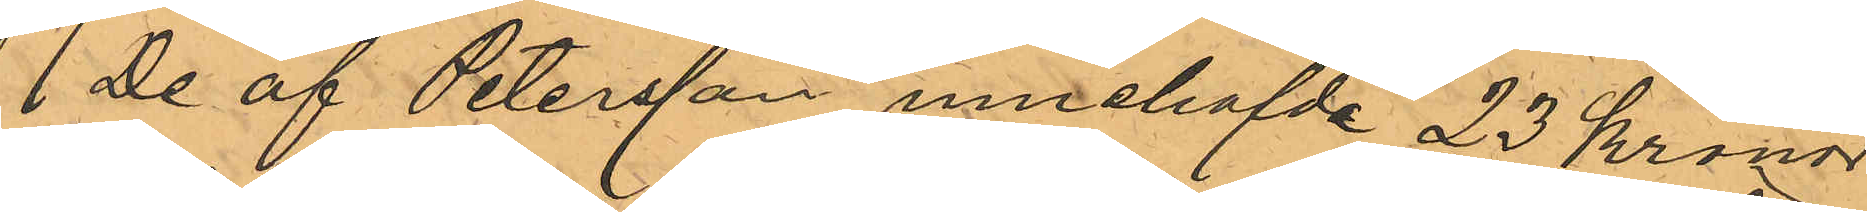De af Petersson innehafvde 23 kronor
